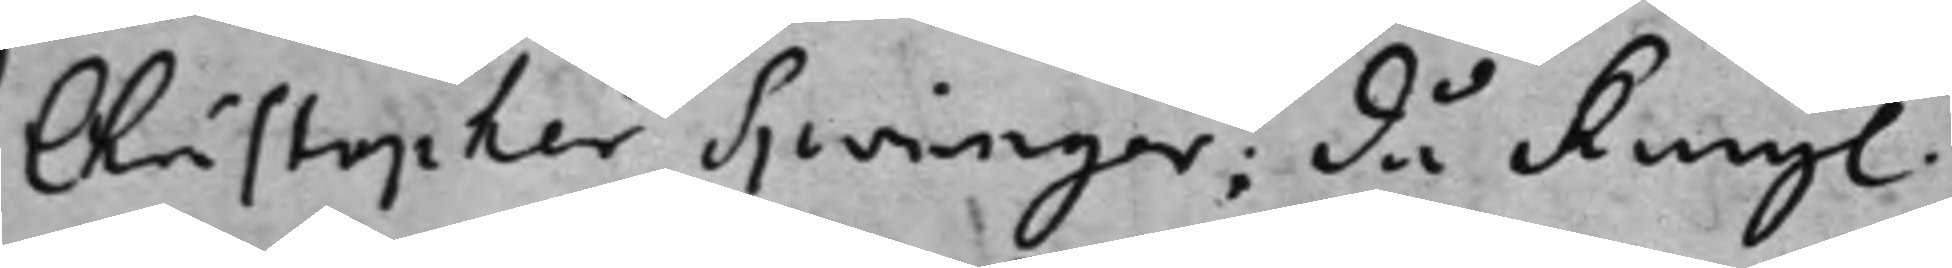Christopher Springer; då Kongl. 
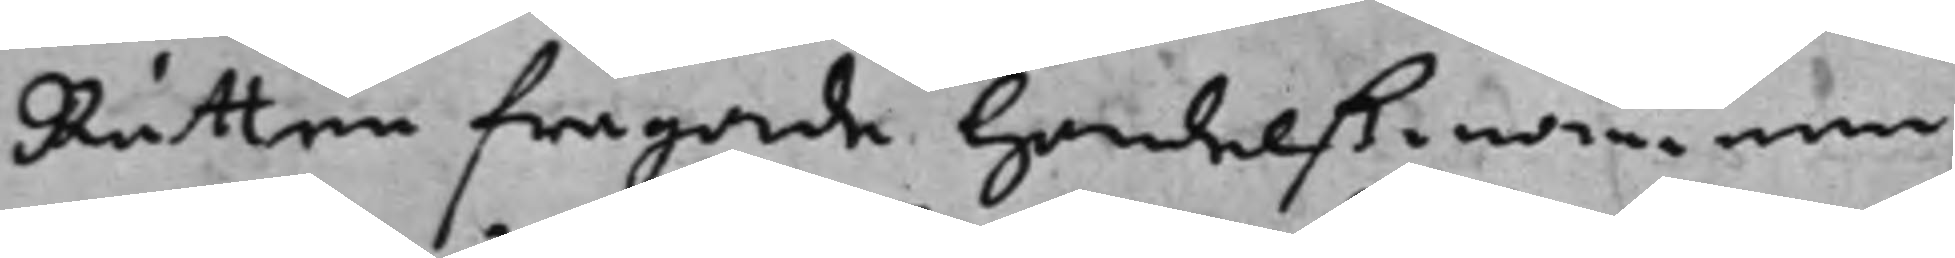Rätten frågade handelßmannnen
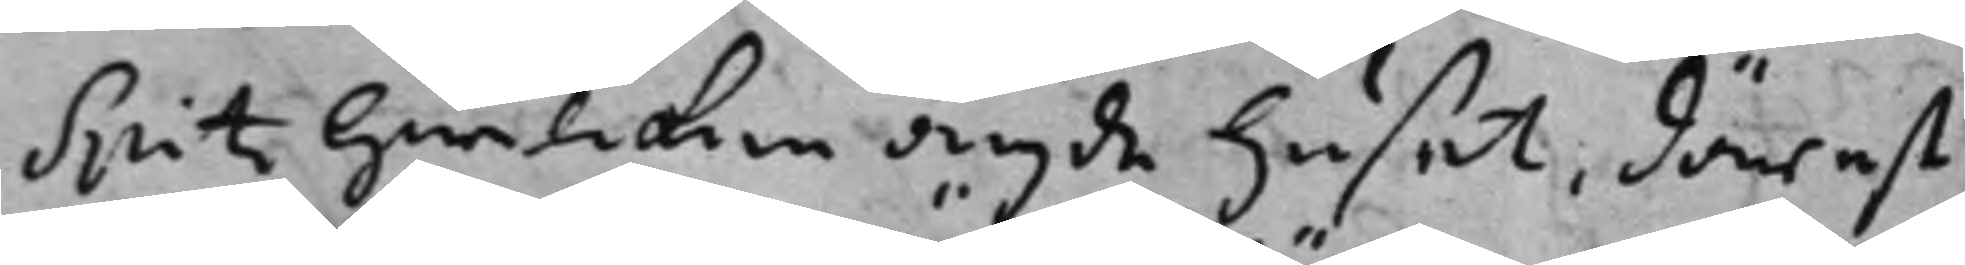Spitz hwilcken ägde huset, därest
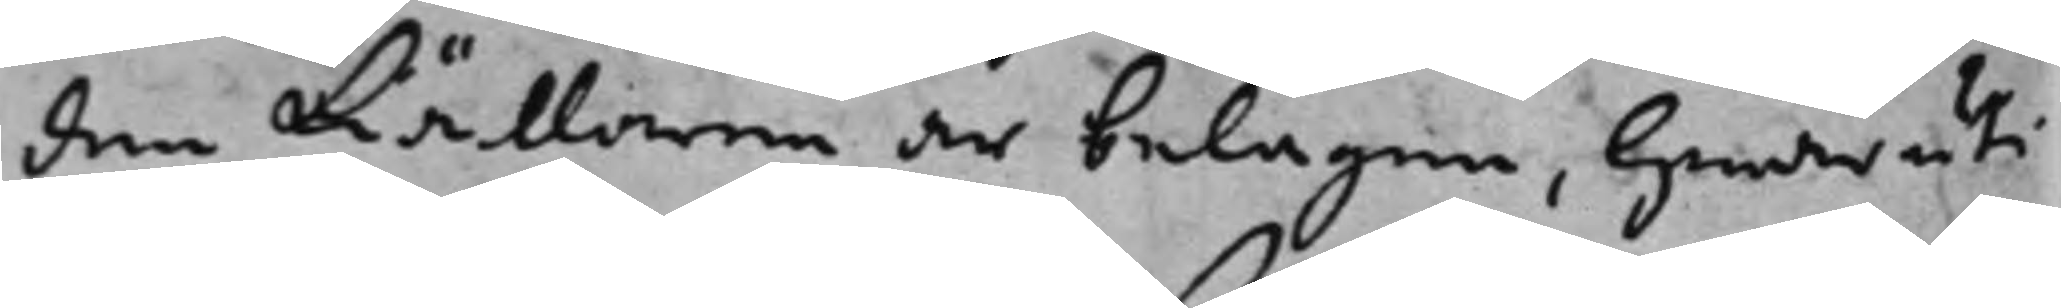den Källaren är belägen, hwaruti
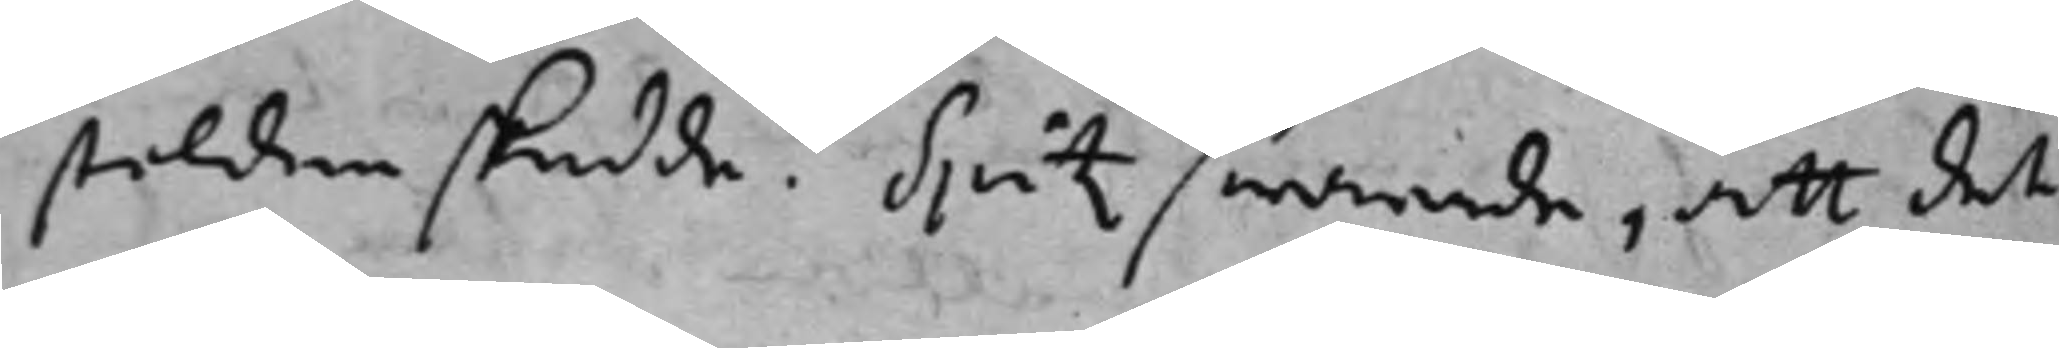stölden skedde? Spitz swarade, att det
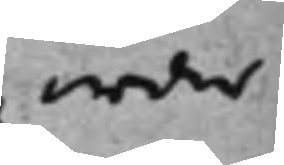war
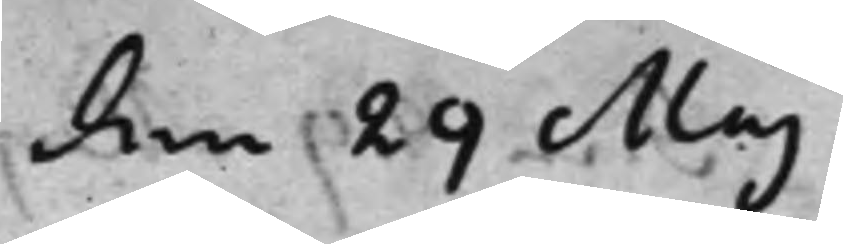den 29 Maj
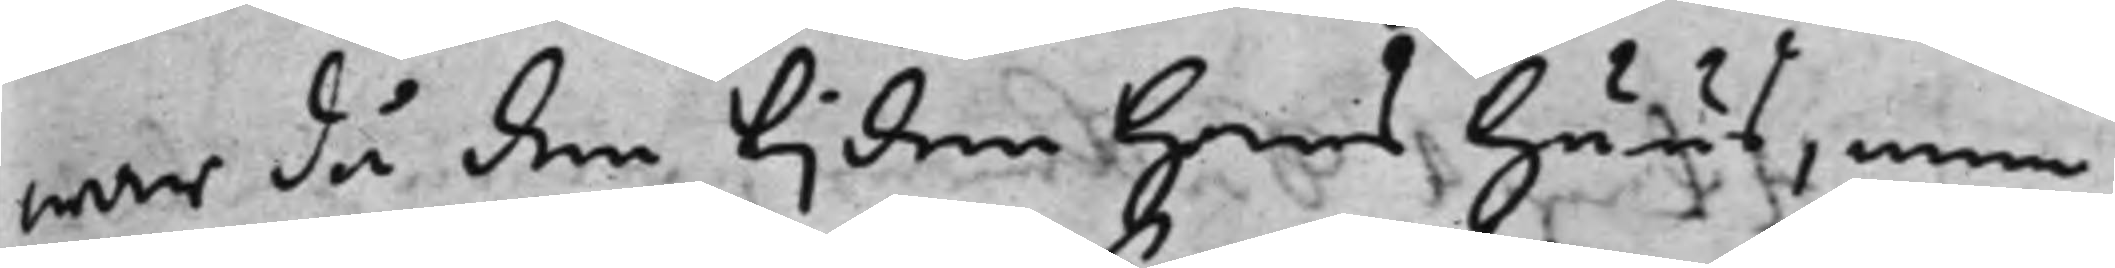war då den tijden Hans huus, men
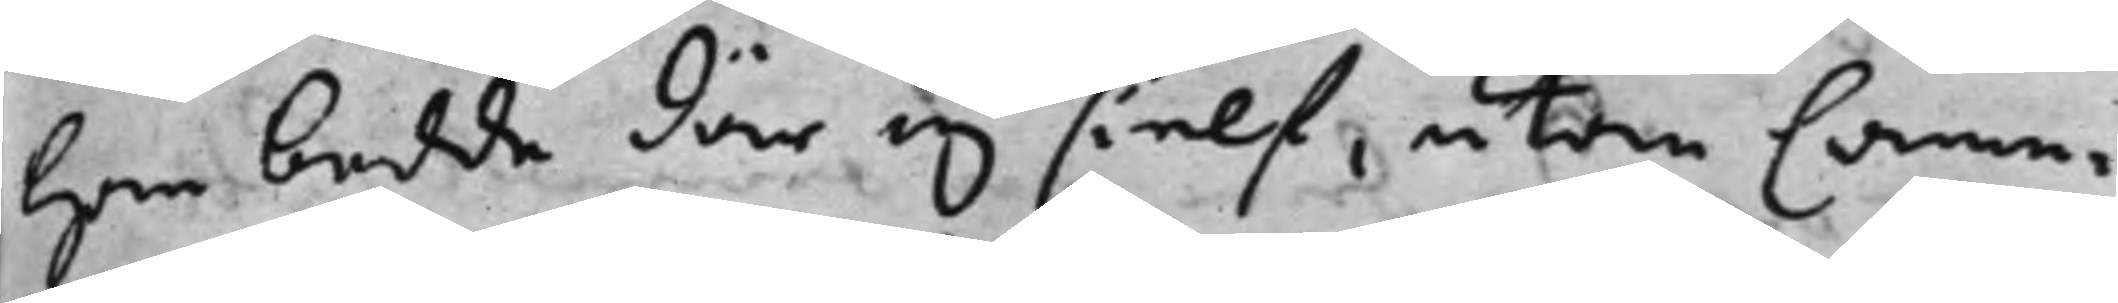han bodde där ej sielf, utan Came¬
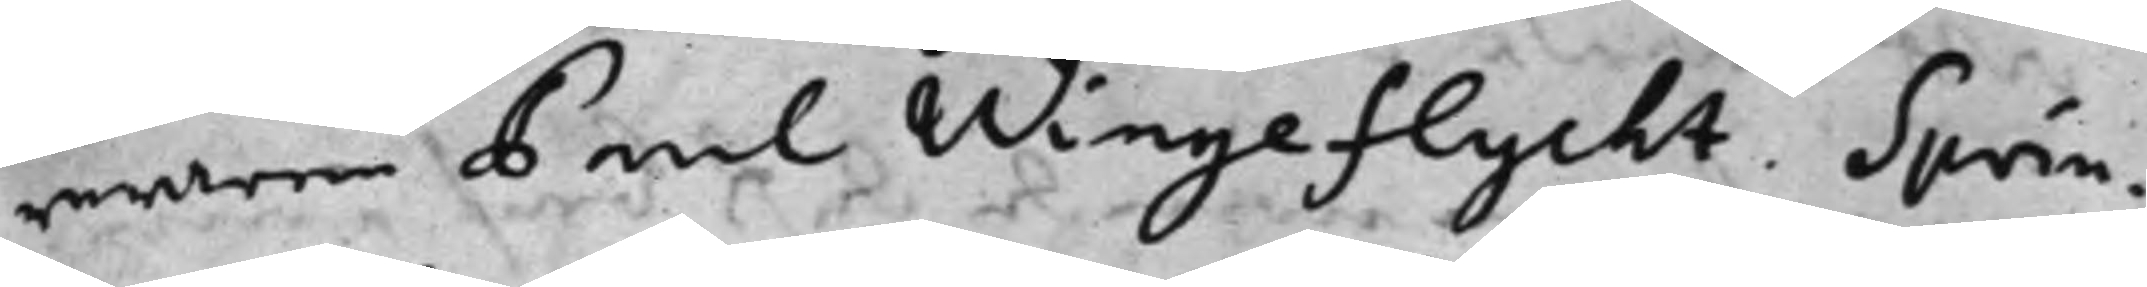reraren Paul Wingeflycht. Sprin¬
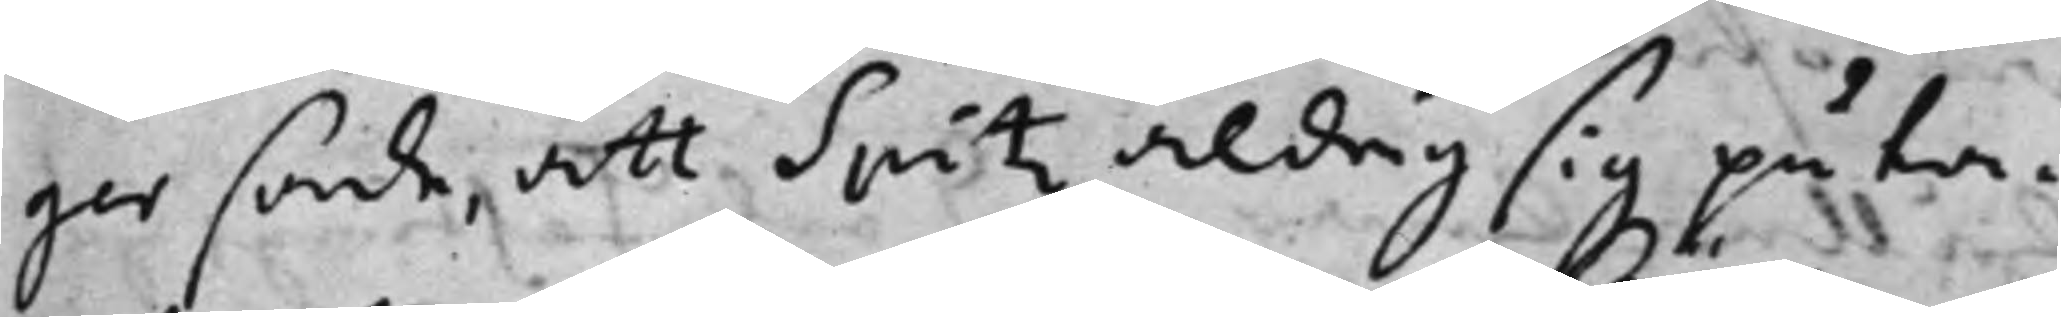ger sade, att Spitz aldrig sig påta¬
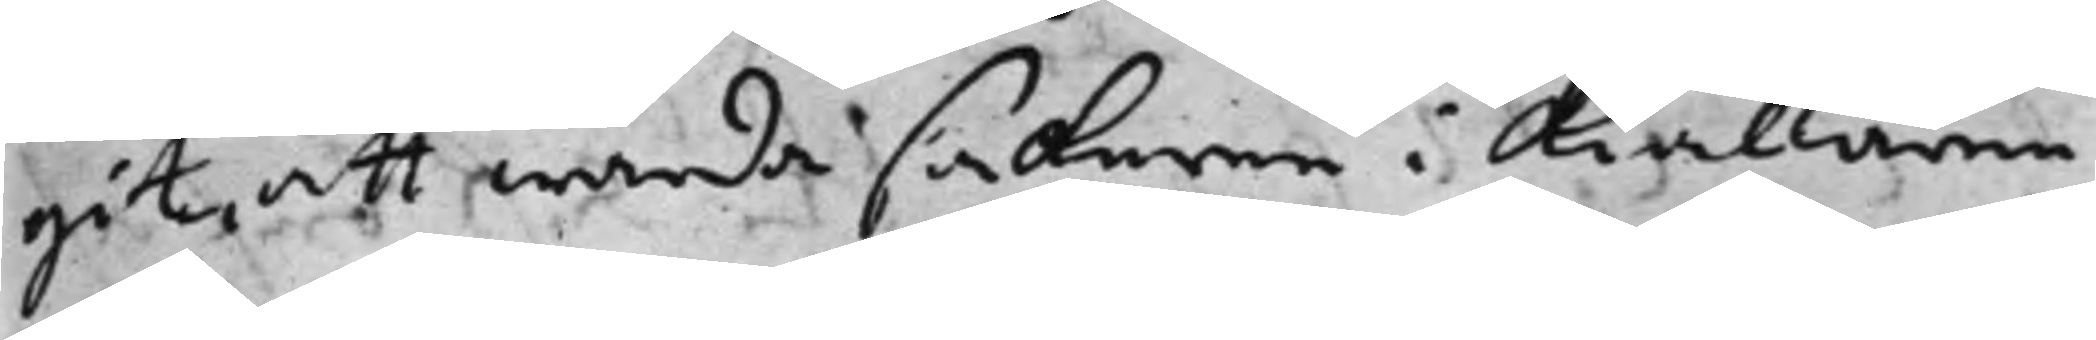git att wårda sakerne i kiällaren
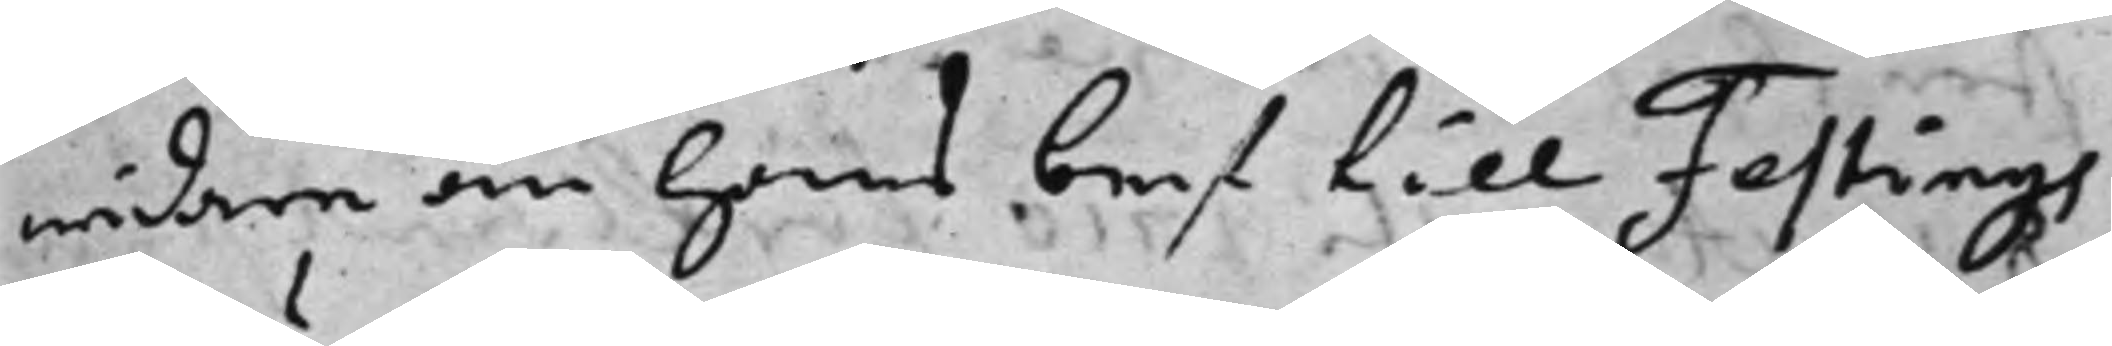widare än hans bref till Festings
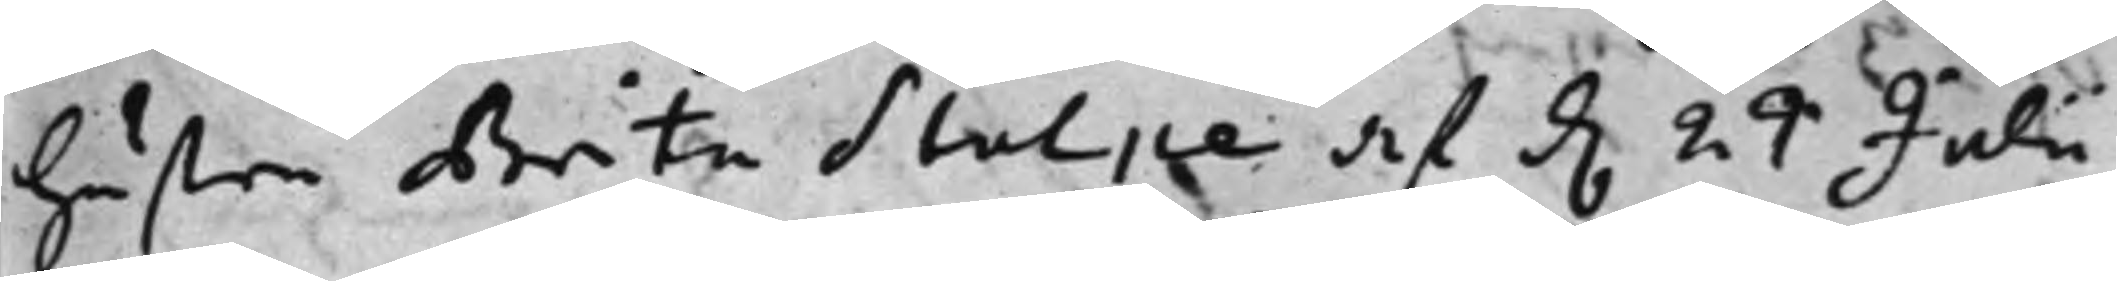hustru Brita Stolpe af d. 24 Juli 
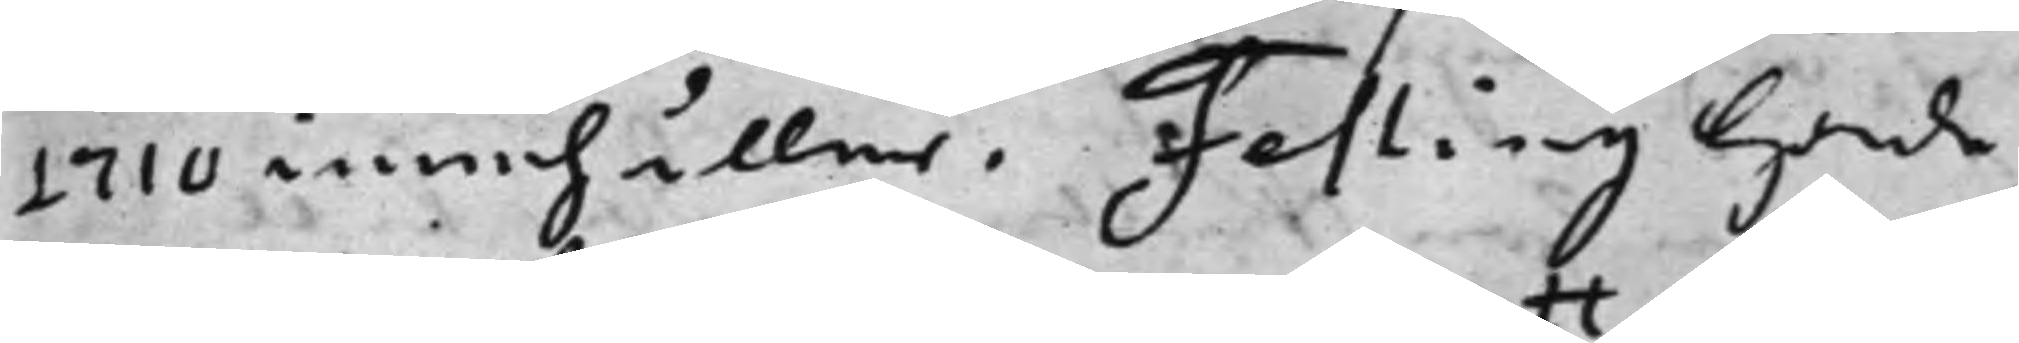1710 innehåller. Festing hade
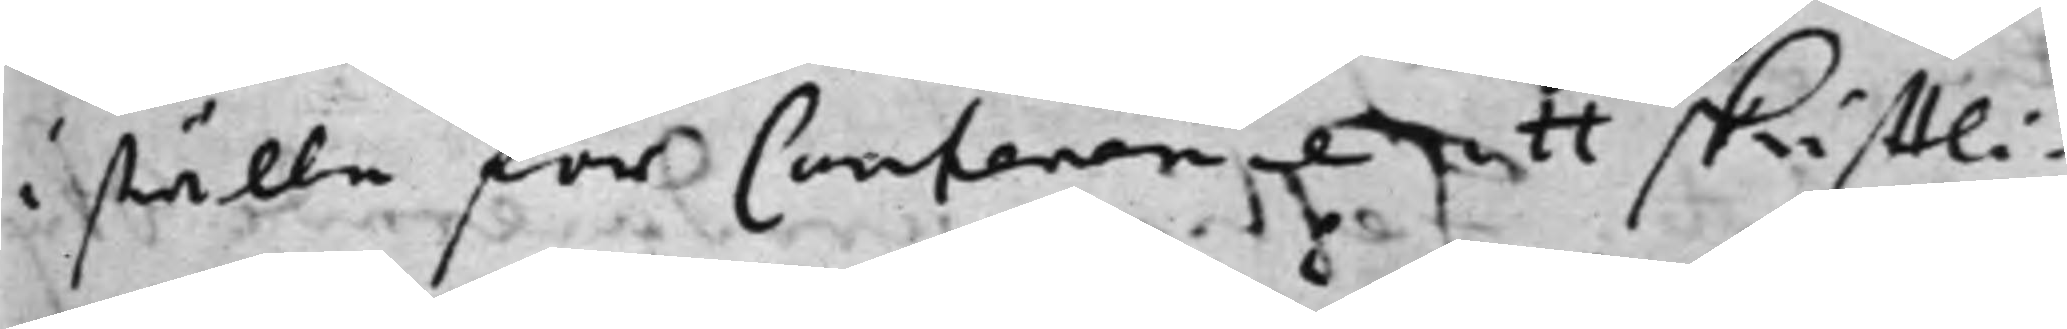i ställe för Contenence ett skrifftli¬
